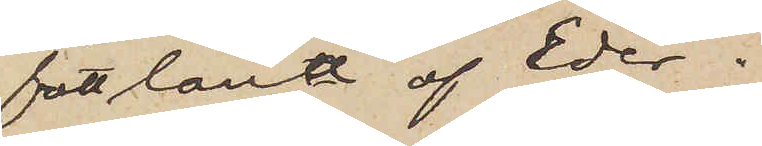fått låna af Eder;
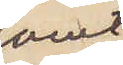samt
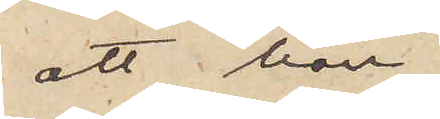att han
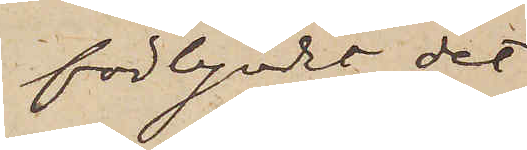förbjudit det
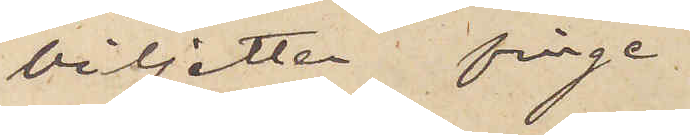biljetten finge
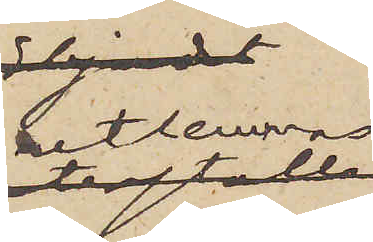utlemnas
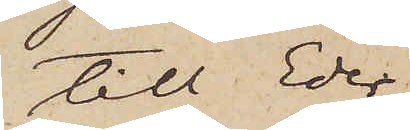till Eder;
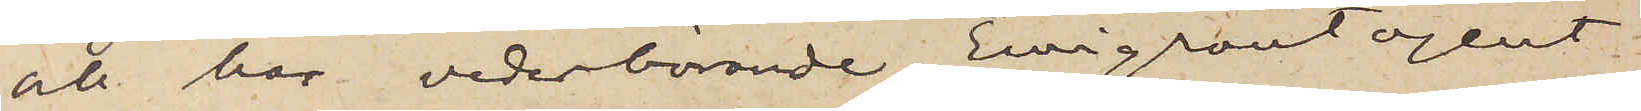och har vederbörande Emigrantagent
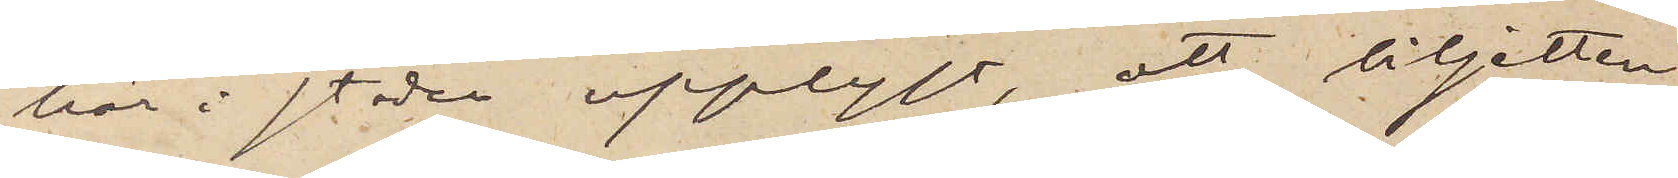här i staden upplyst, att biljetten
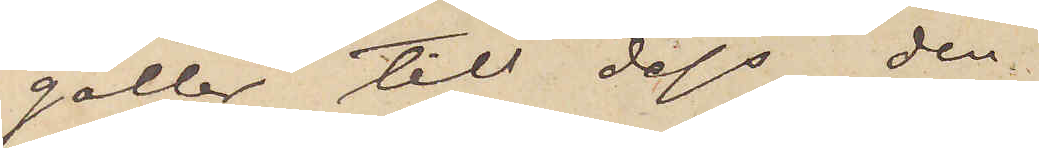gäller till dess den
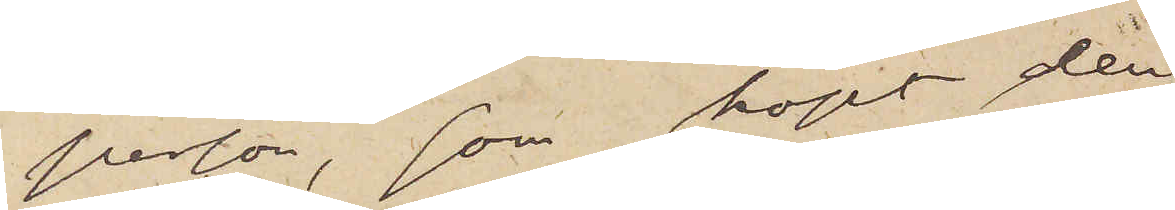person, som köpt den
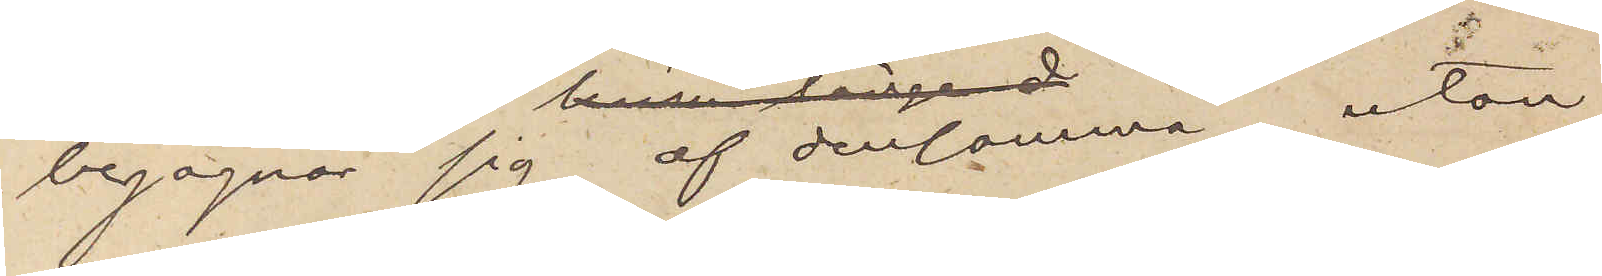begagnar sig af densamma, utan
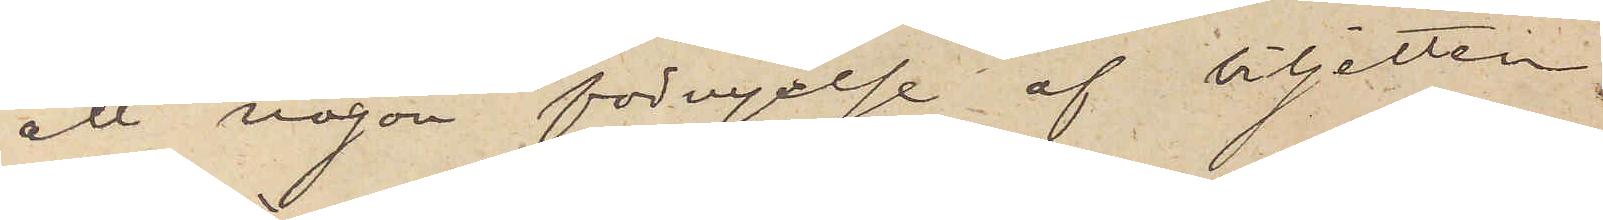ett någon förnyelse af biljetten
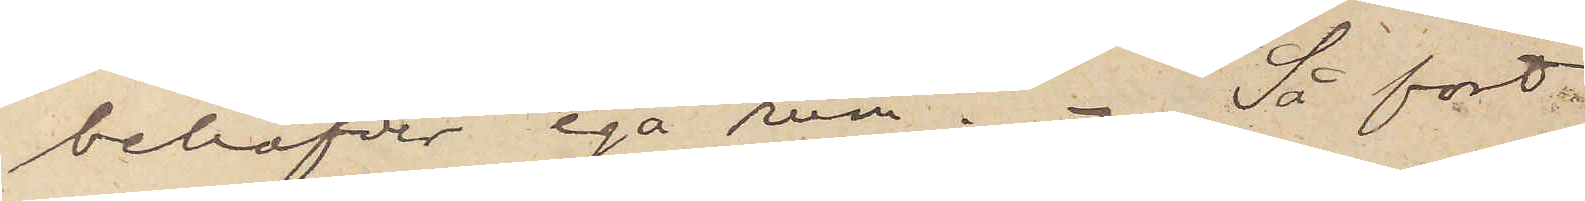behöfver ega rum. Så fort
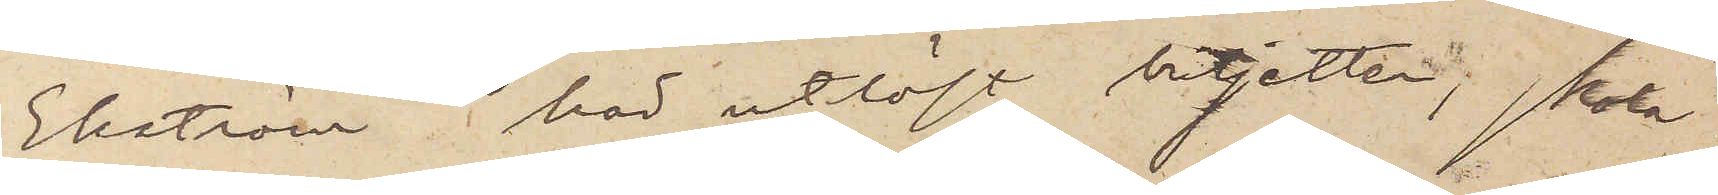Ekström har utlöst biljetten, skola
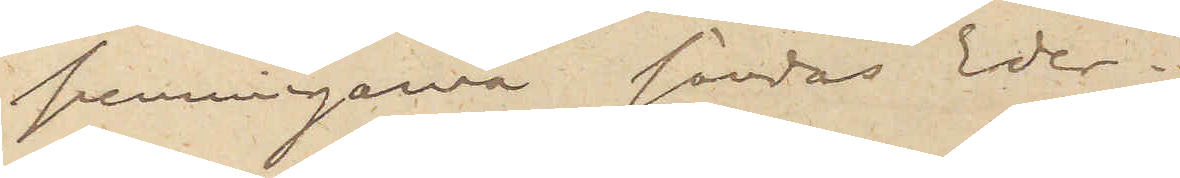penningarna sändas Eder.
